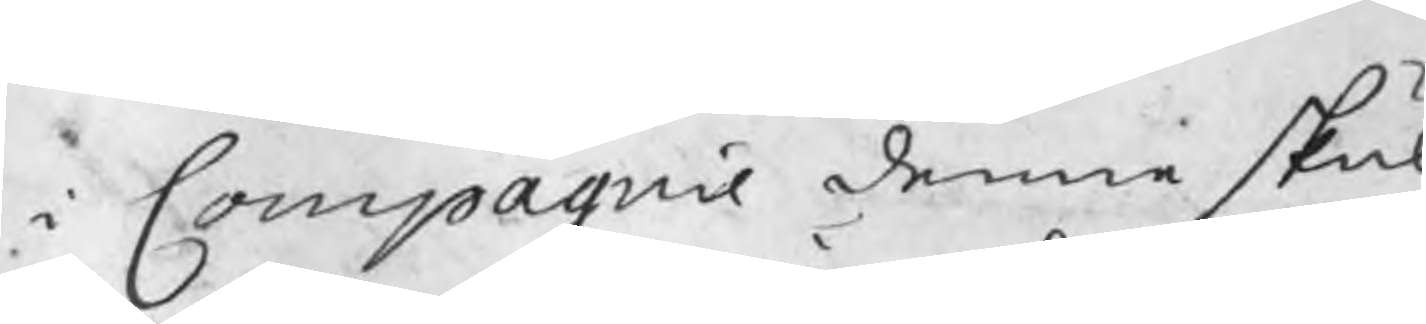i Compagnie denne skul
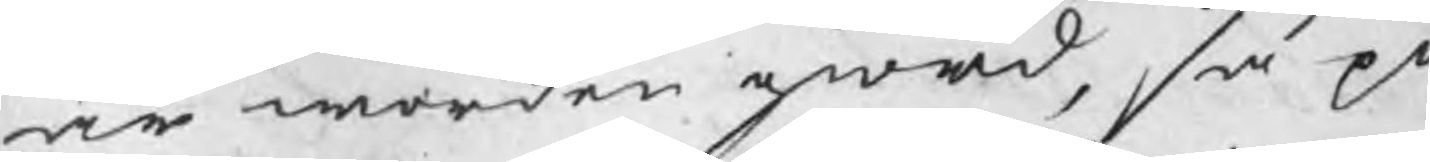är worden giord, såpå
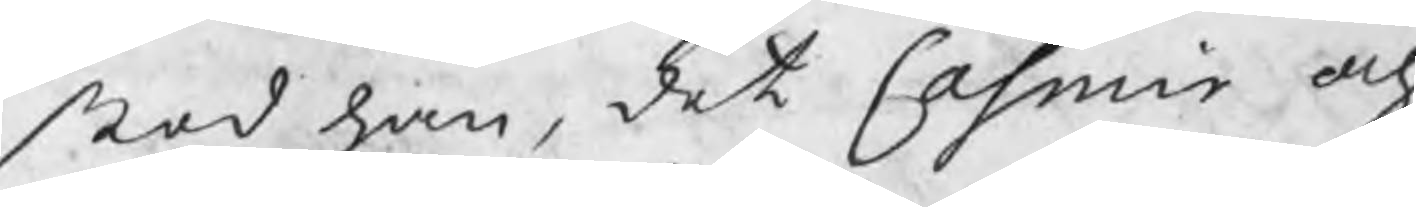stod han, det Casmir och
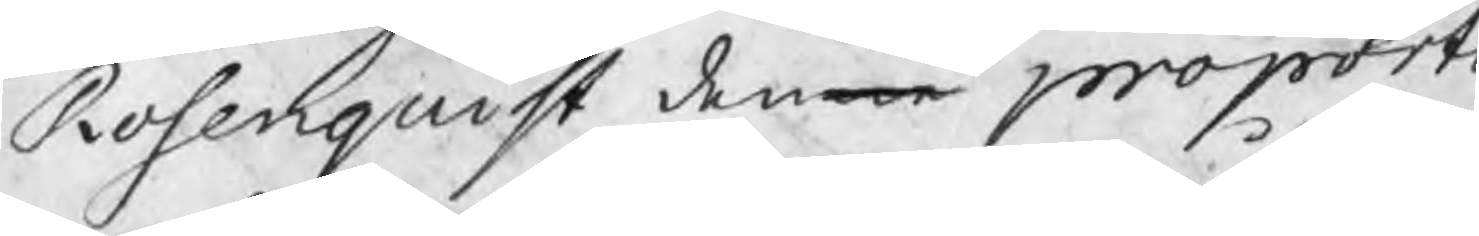Rosenquist denne proport
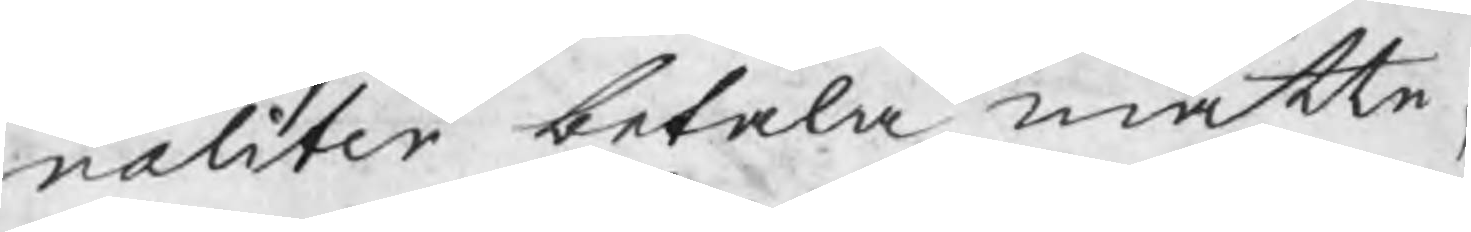naliter betala måtte,
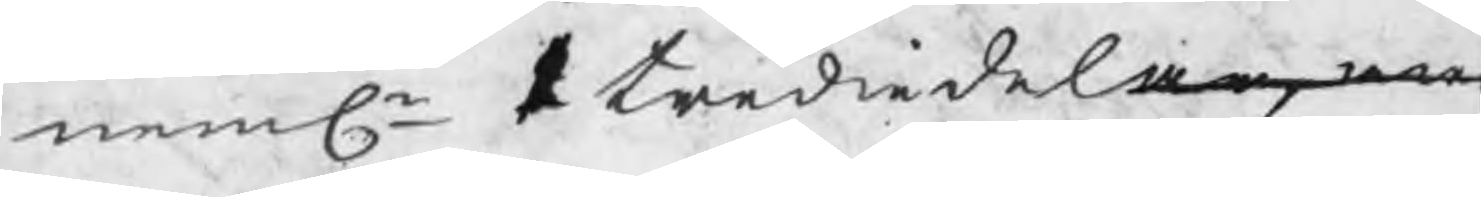nemln trediedelar, w
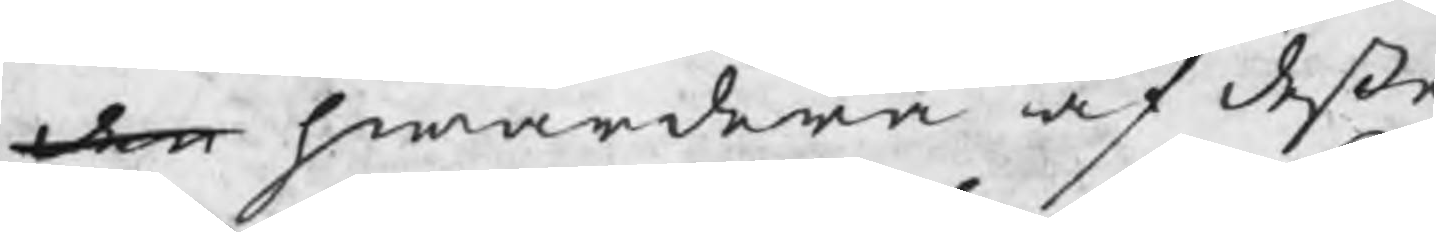den hwardera af deße
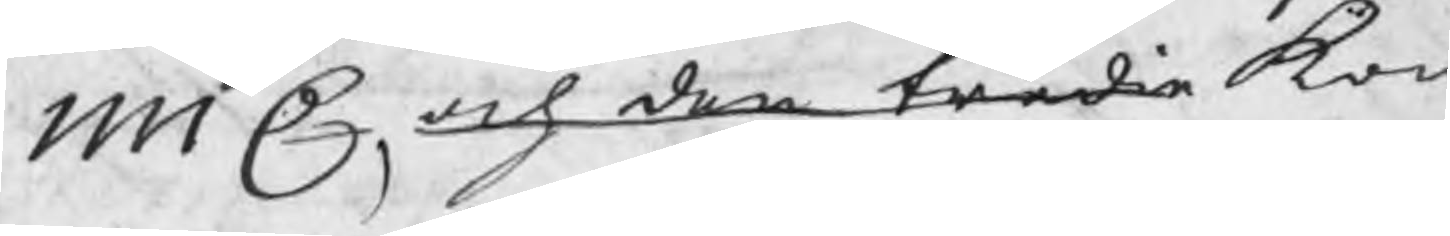1111 C, och den tredie kom
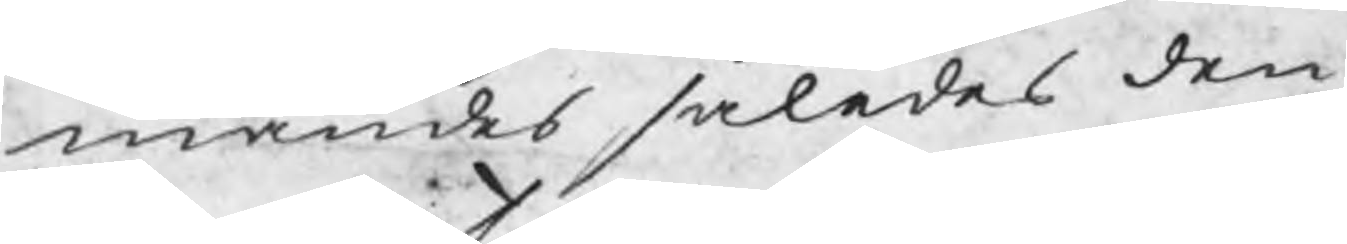mandes således den
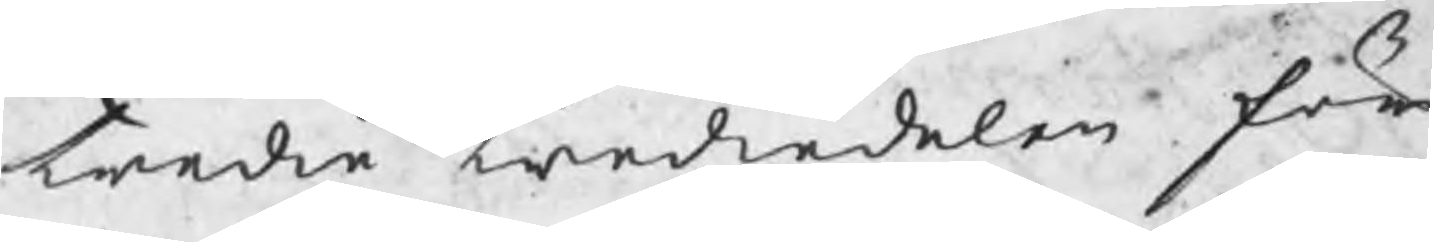tredie trediedelen för
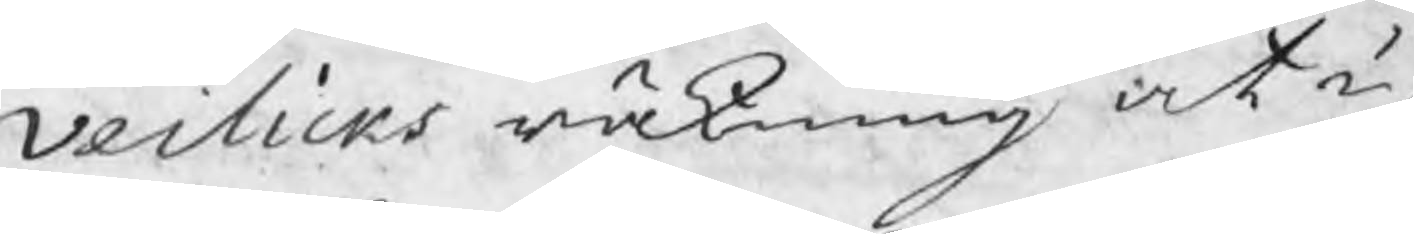Veilicks räkning at up¬
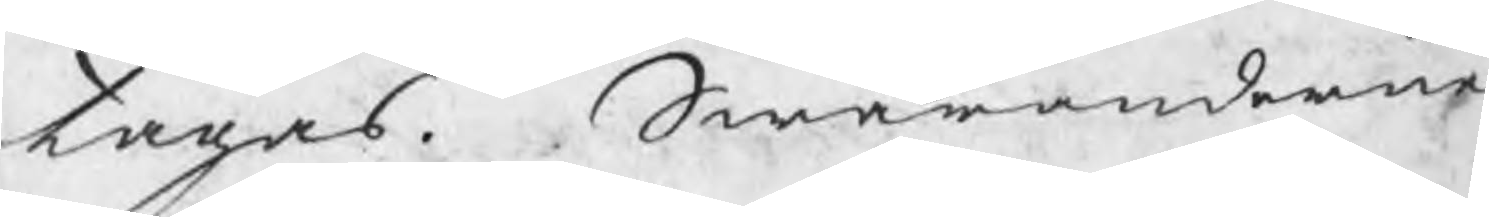tagas. Swaranderne
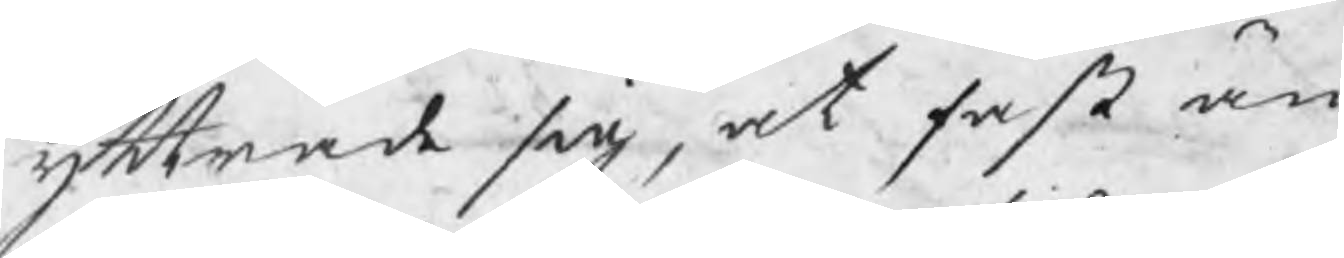yttrade sig, at fast än
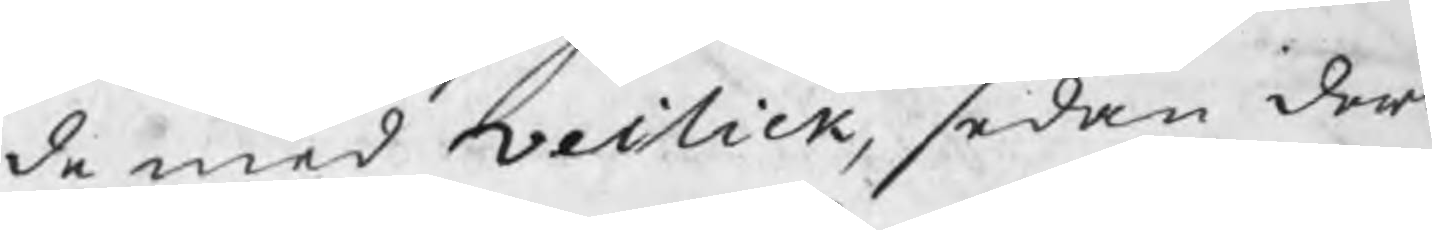de med Veilick, sedan dera
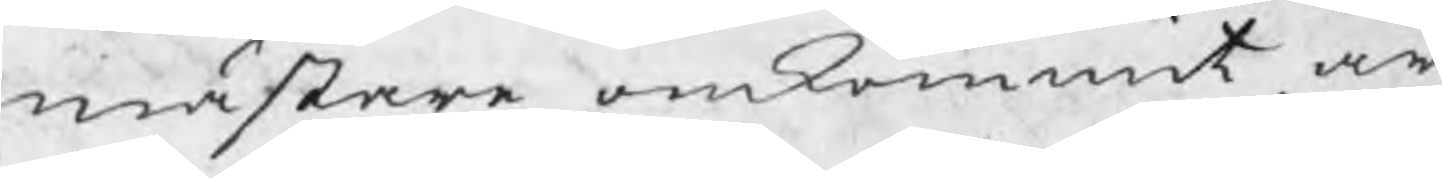mästare omkommit, ar¬
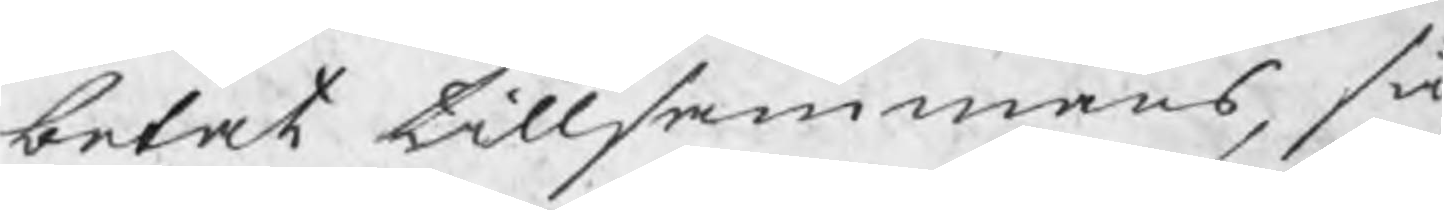betat tillsammans, så
